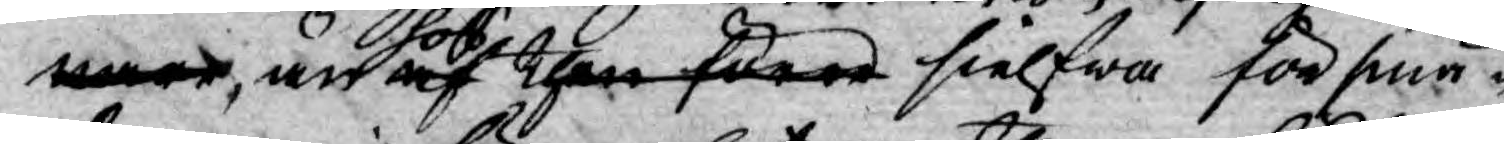nare, än hos af then förre sielfwa försmä¬
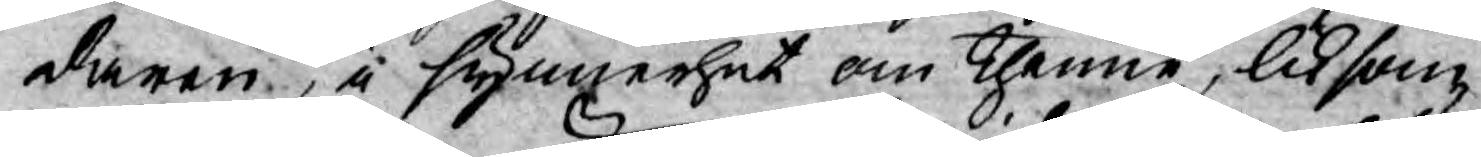daren, i synnerhet om thenne, liksom
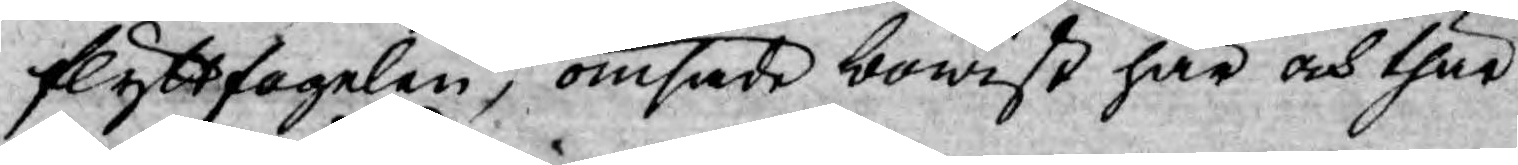flyttfogelen, ömsade bowist här och thär
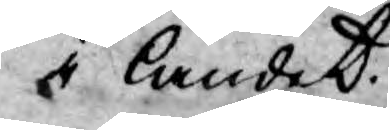i landet.
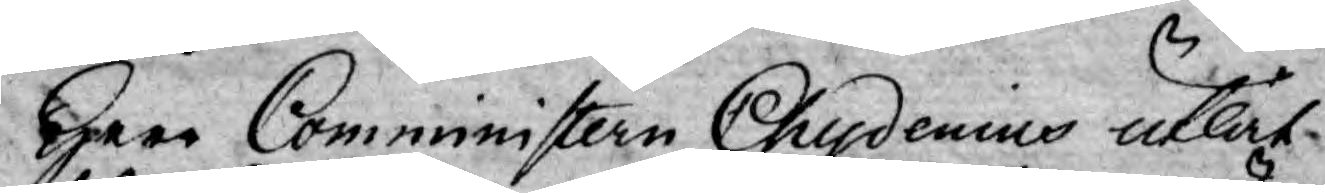Herr Comministern Chydenius utlät
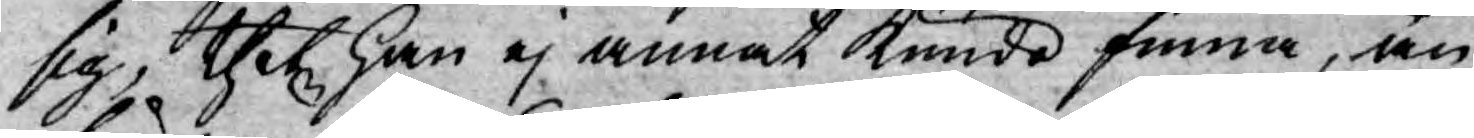sig, thet han ej annat kunde finna, än
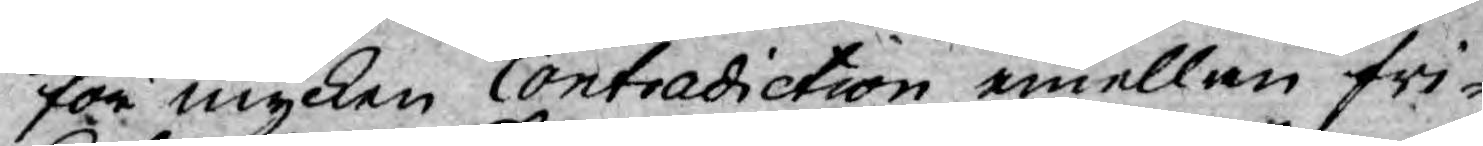för mycken Contradiction emellan fri¬
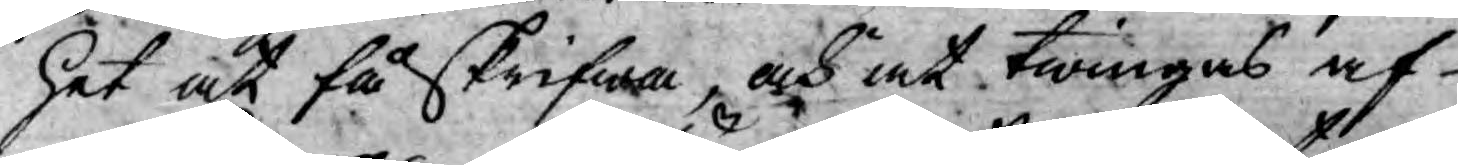het at få skrifwa, och at twingas af
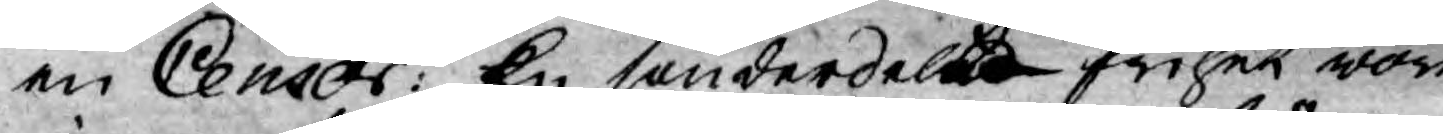en Censor: En sönderdelt frihet wore
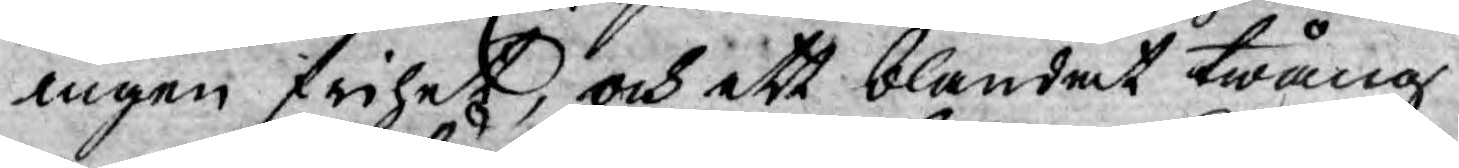ingen frihet, och ett blandat twång
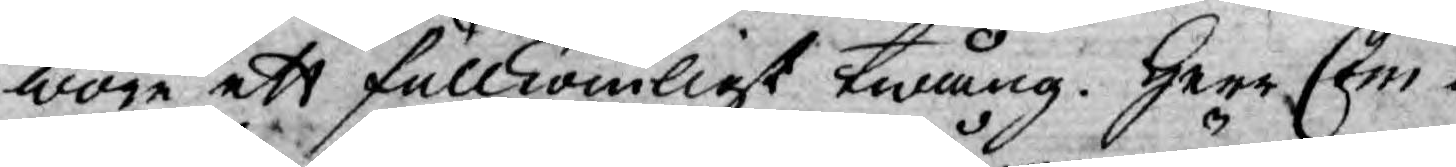wore ett fullkomligt twång. Herr Com¬
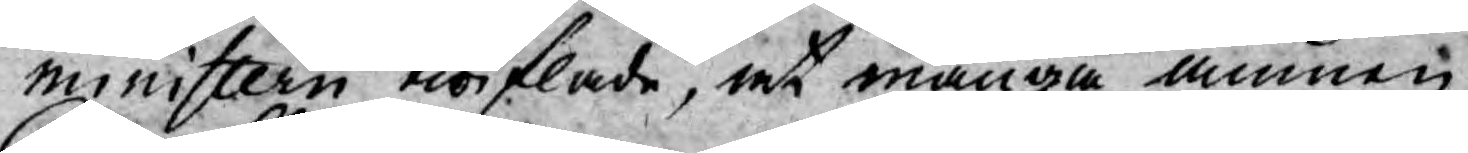ministern twiflade, at många ämnen
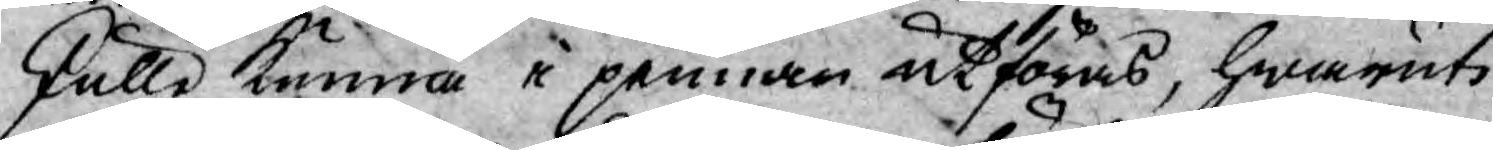skulle kunna i pennan utföras, hwaruti
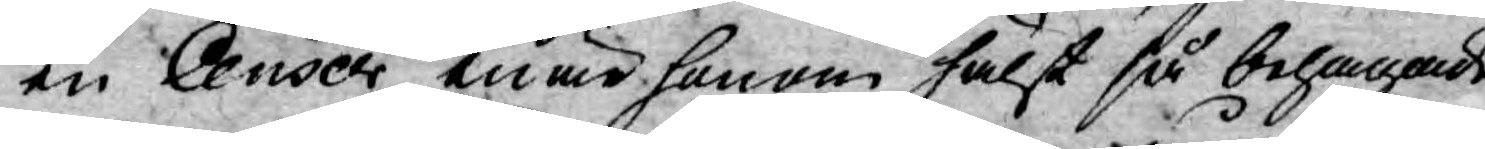en Censor enär honom hälst så behagade
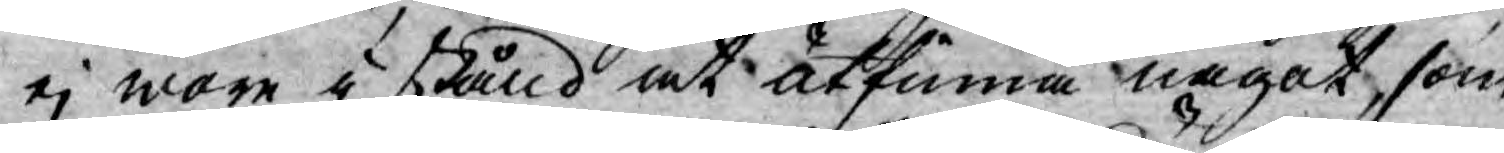ej wore i stånd at åtfinna något, som
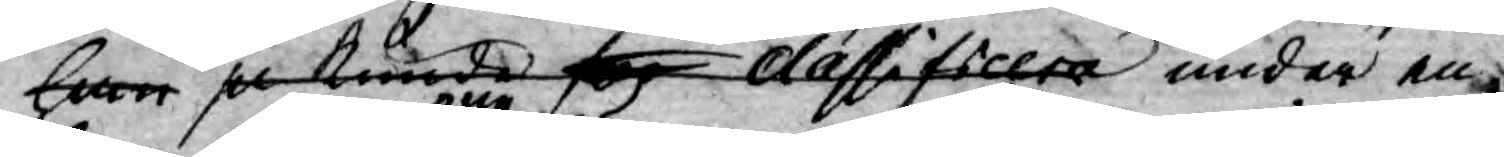han ju kunde sig classificera under en¬
